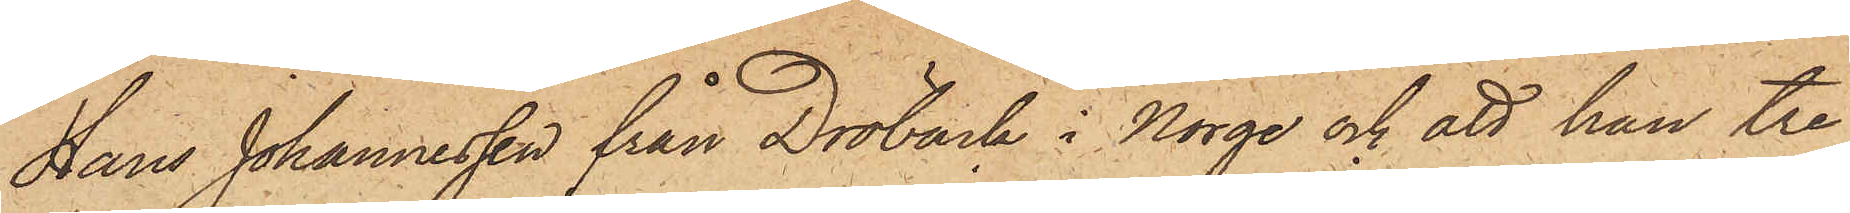Hans Johannessen från Dröback i Norge och att han tre
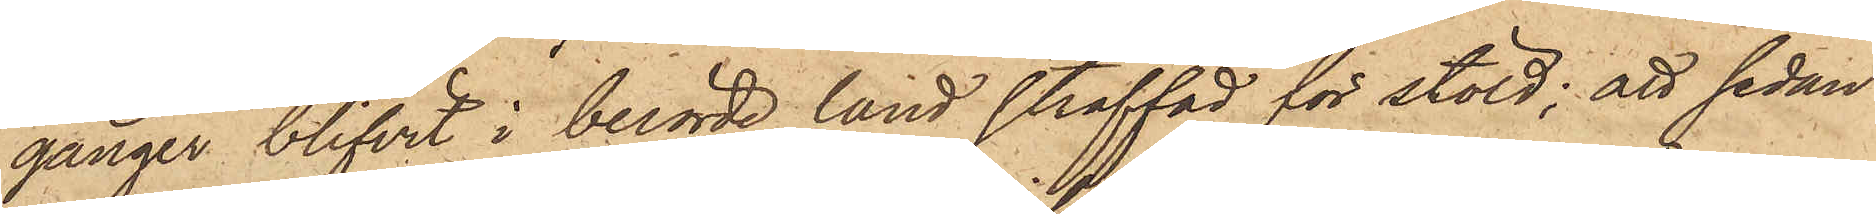gånger blifvit i berörde land straffad för stöld; att sedan
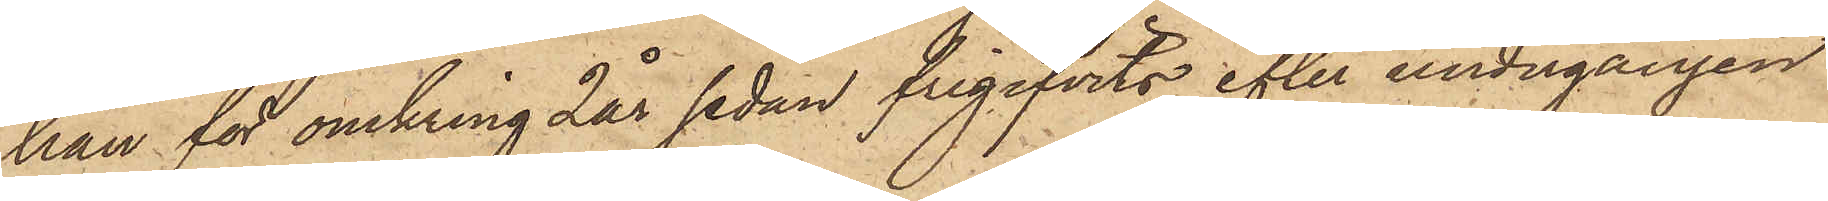han för omkring 2 år sedan frigifvits efter undergången
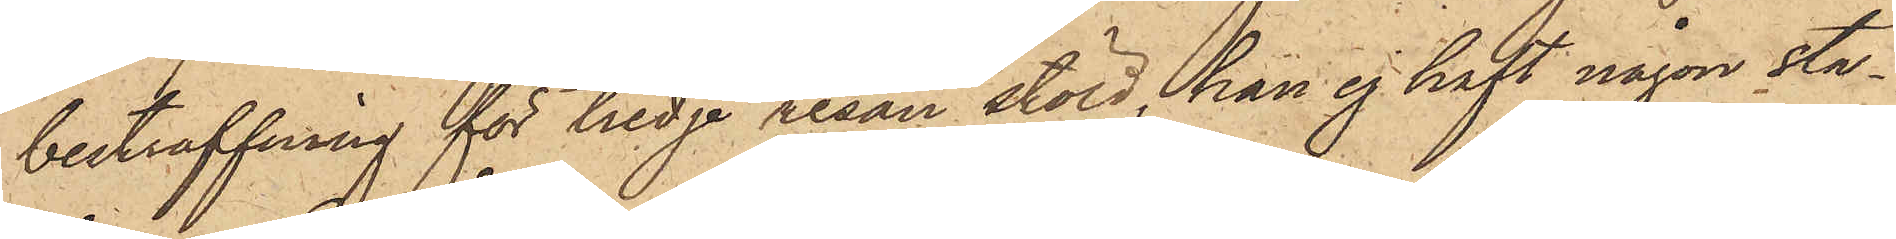bestraffning för tredje resan stöld, han ej haft någon sta¬
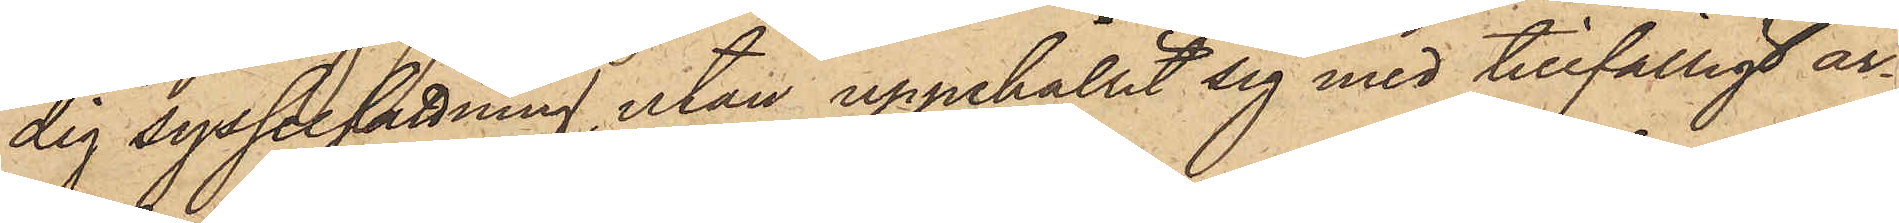dig sysselsättning, utan uppehållit sig med tillfälligt ar¬
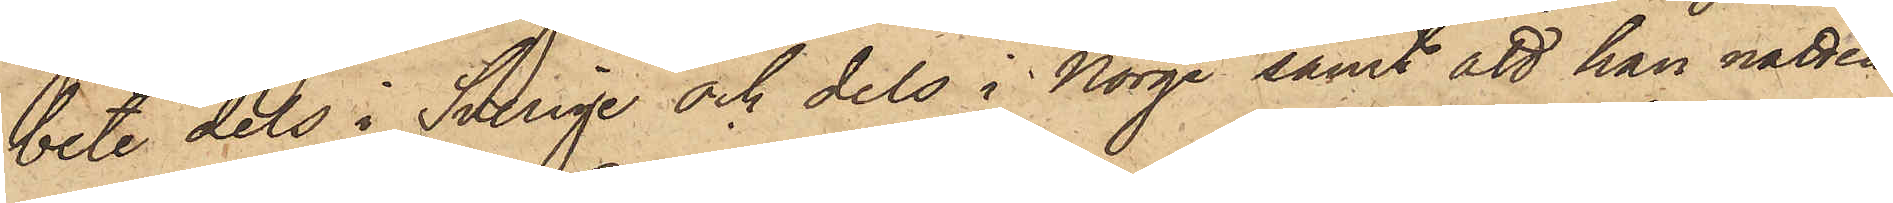bete dels i Sverige och dels i Norge samt att han natten
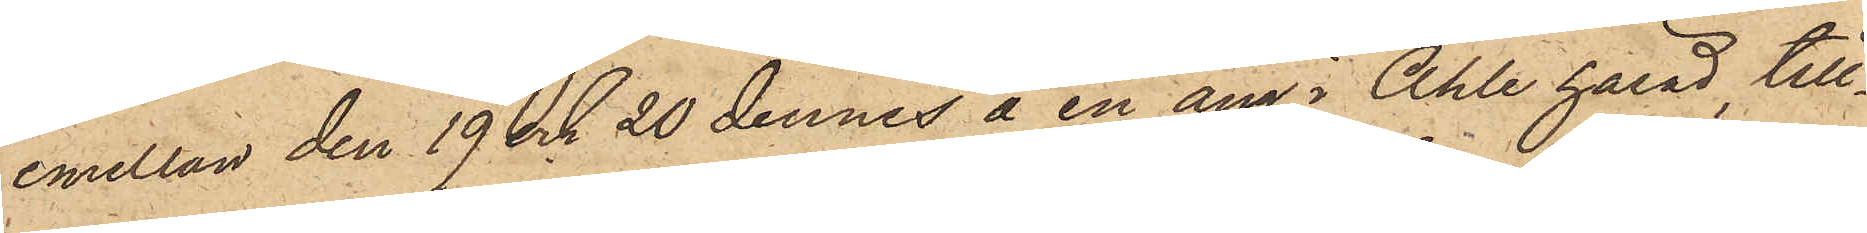emellan den 19 och 20 dennes å en äng i Ahle härad, till¬
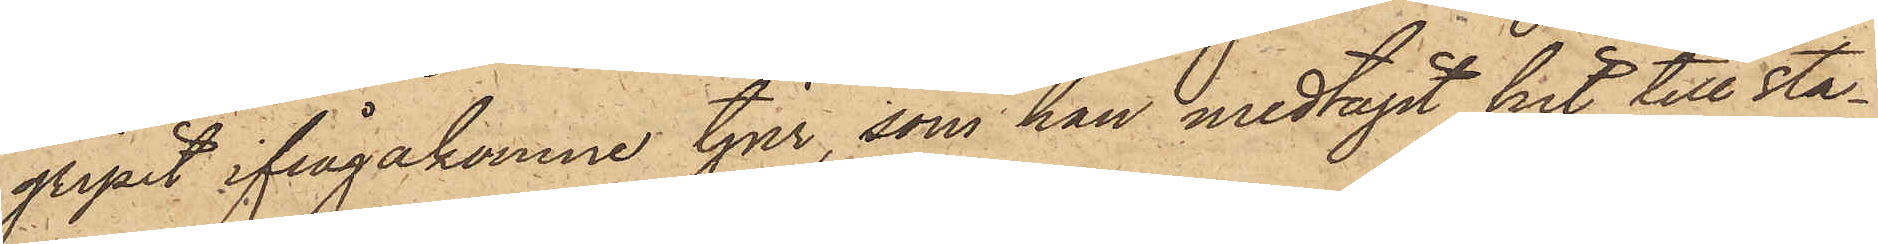gripit ifrågakomne tjur, som han medtagit hit till sta¬
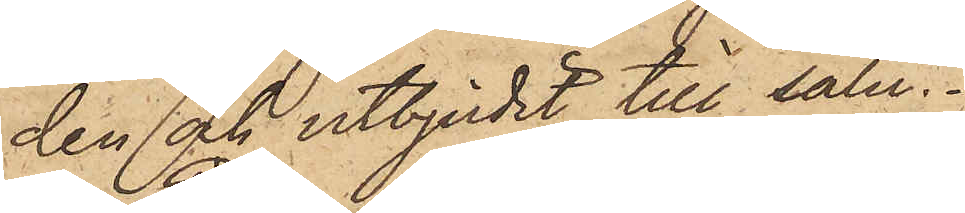den och utbjudit till salu.
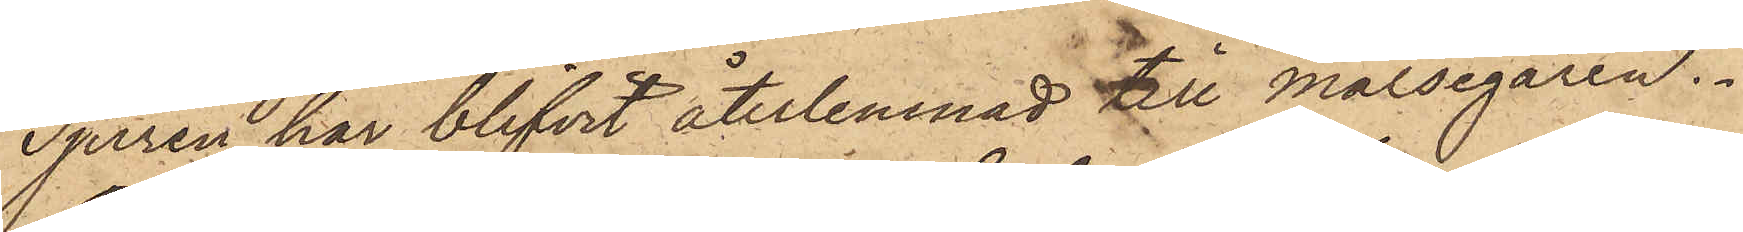Tjuren har blifvit återlemnad till målsegaren.
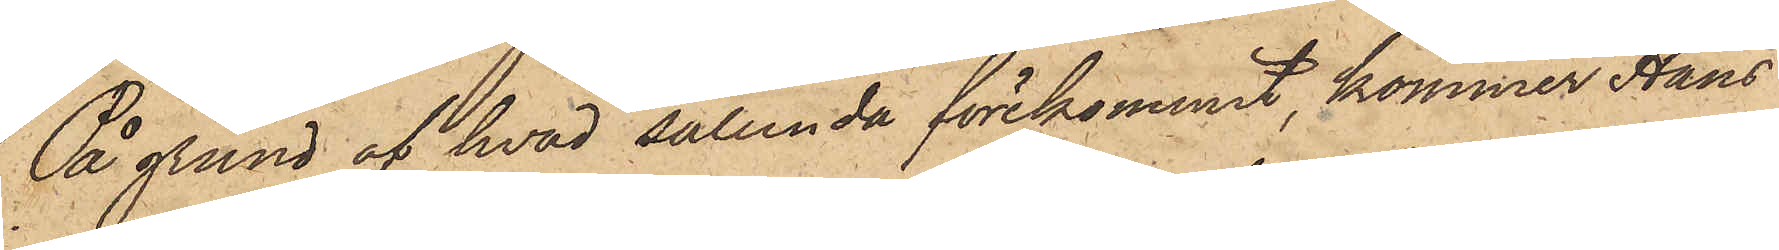På grund af hvad sålunda förekommit, kommer Hans
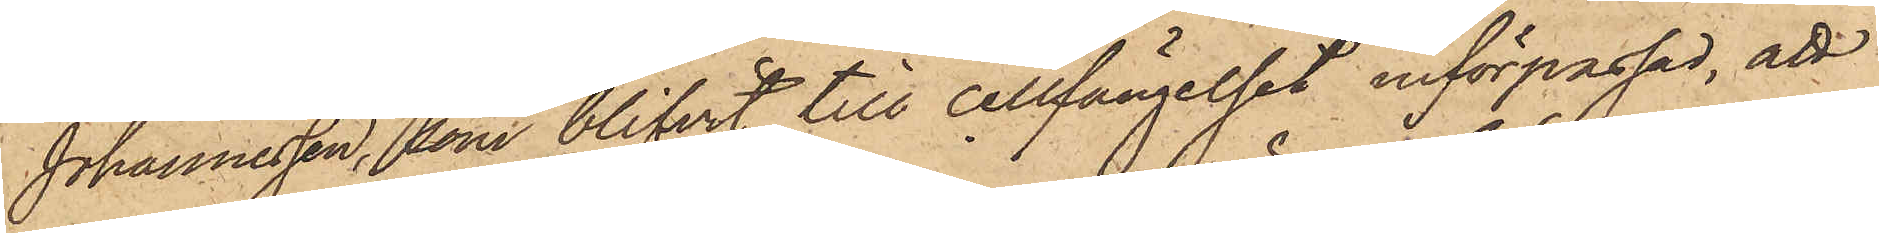Johannessen, som blifvit till cellfängelset införpassad, att
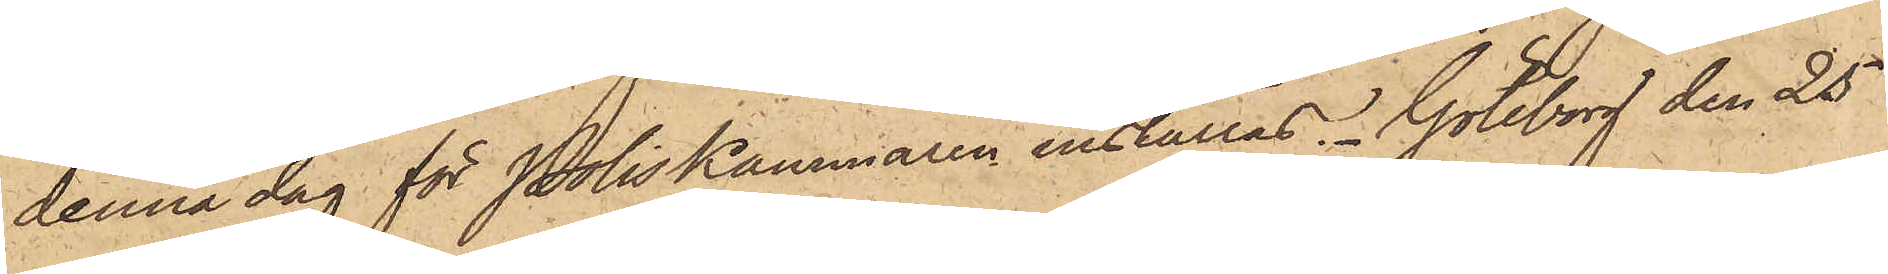denna dag för Poliskammaren inställas. Göteborg den 25
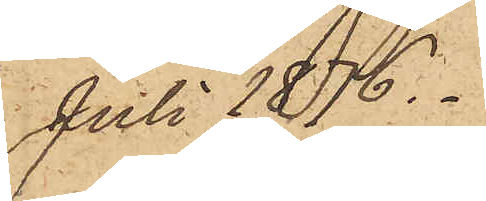Juli 1876.
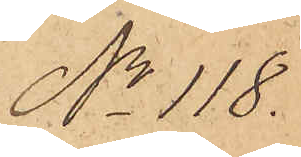No 118.
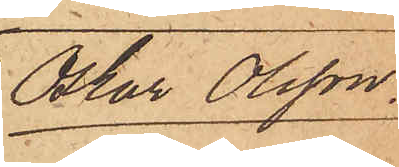Oskar Olsson.
